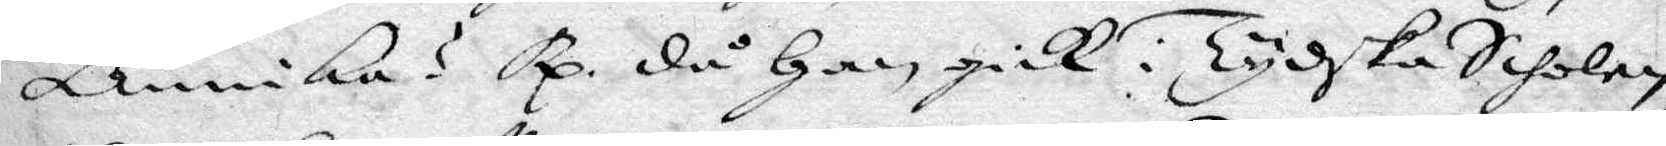annika? Rp. då Han gick i Tyska Scholan
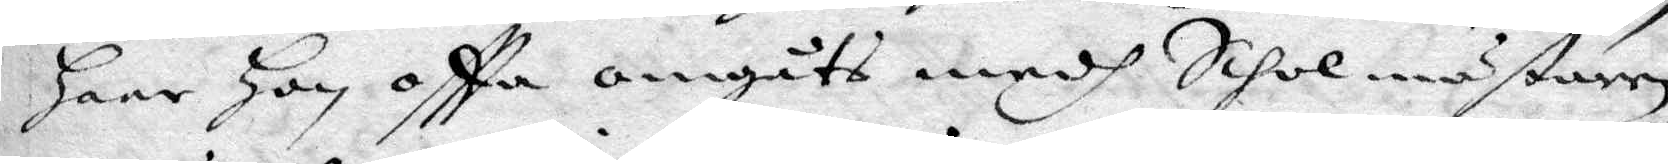hare han ofttea omgåts medh Scholm'staren
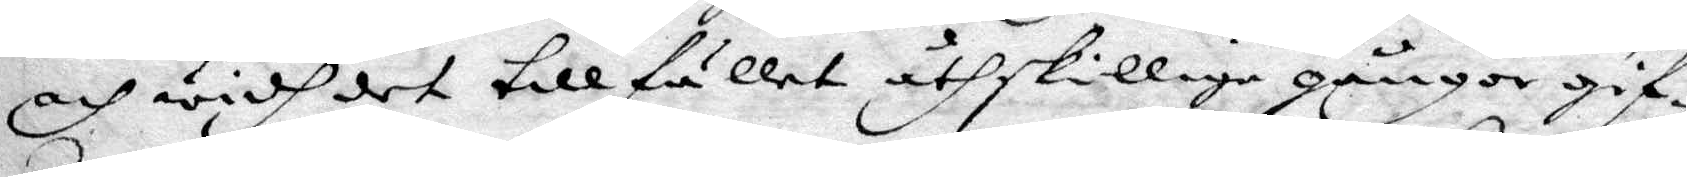och widh det tillfället åthskillige gånger gif¬
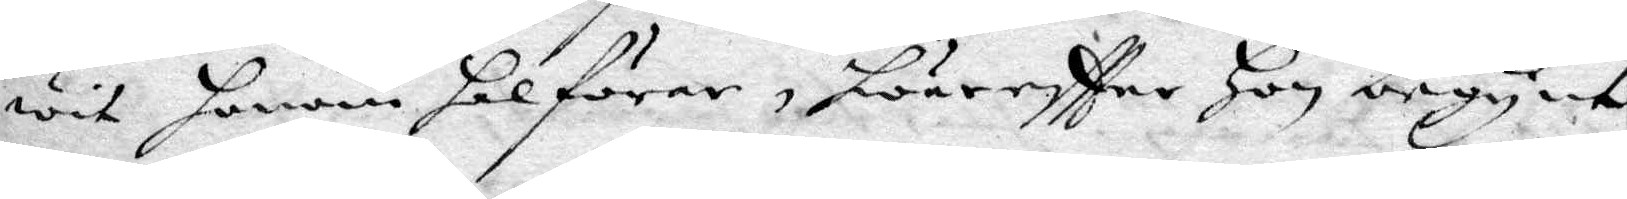wit honom halförar, huareftter Hon begynt
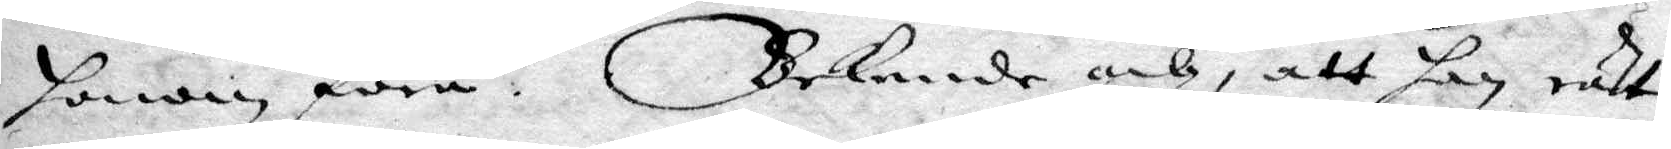honom föra. Bekende och, att han rätt
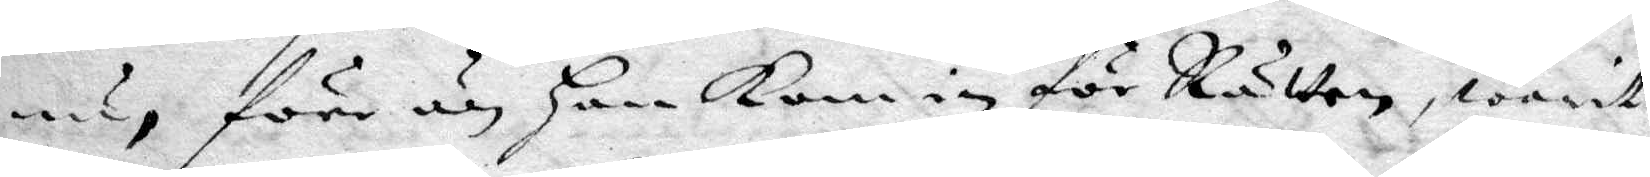nu, före än hanKom in för Rätten, warit
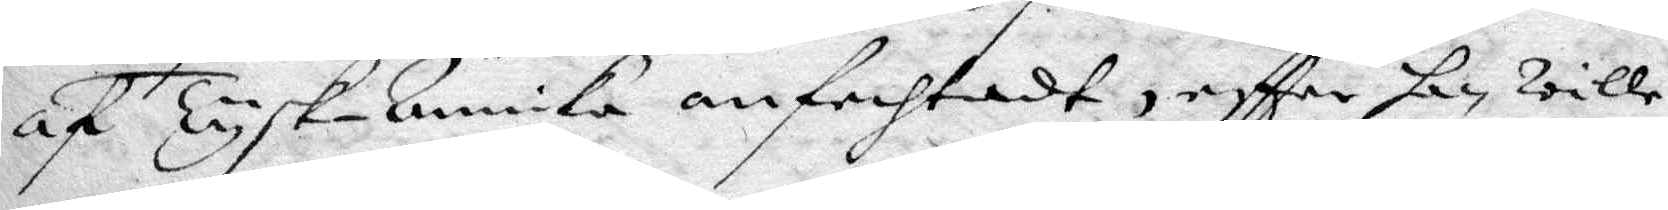af Tysk-annika anfechtadt, eftter han wille
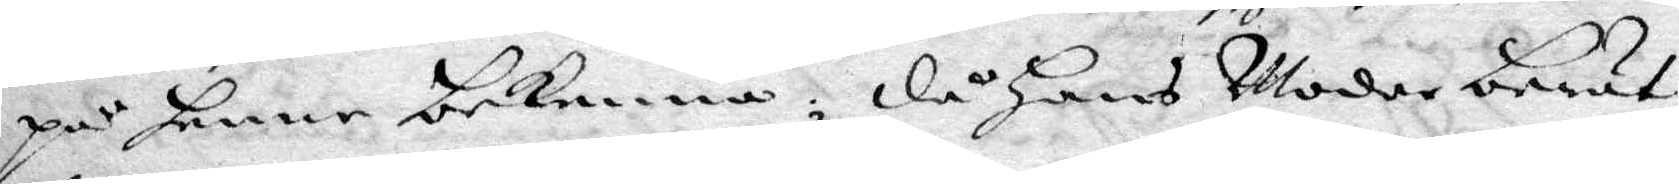på henne bekenna; då Hans Moder berät¬
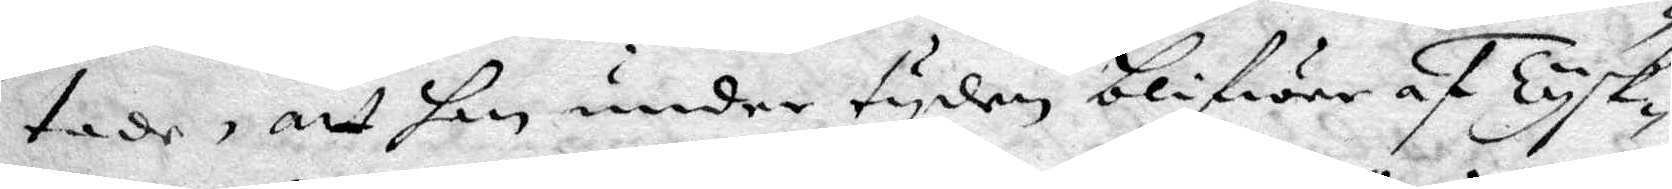tade, att hon under tyden blifwer af Tysk¬
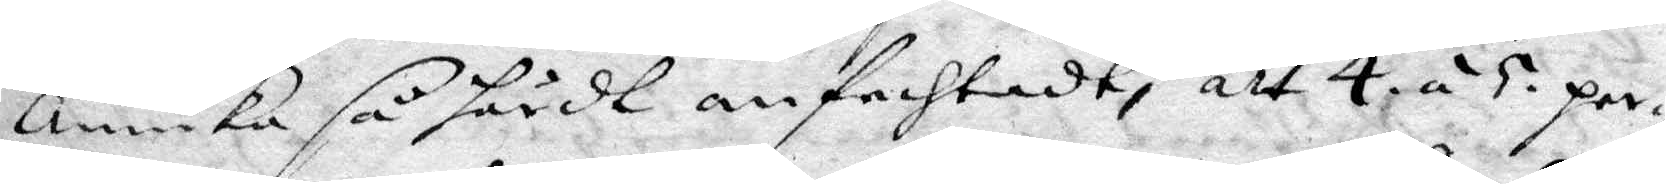annika så hårdt anfechtadt, att 4 á 5 per¬
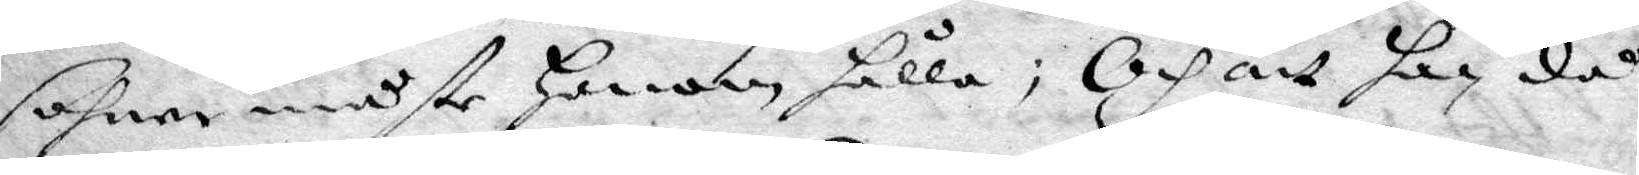sohner måste Honom hålla; Och att han då
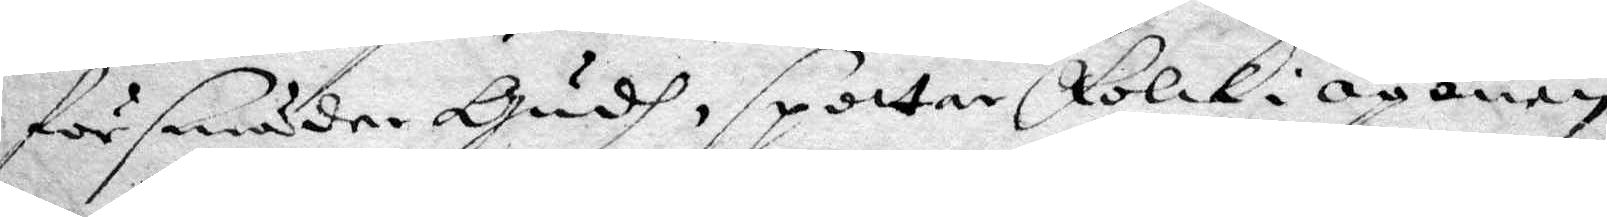försmäda Gudh, spottar Folck i ögonen,
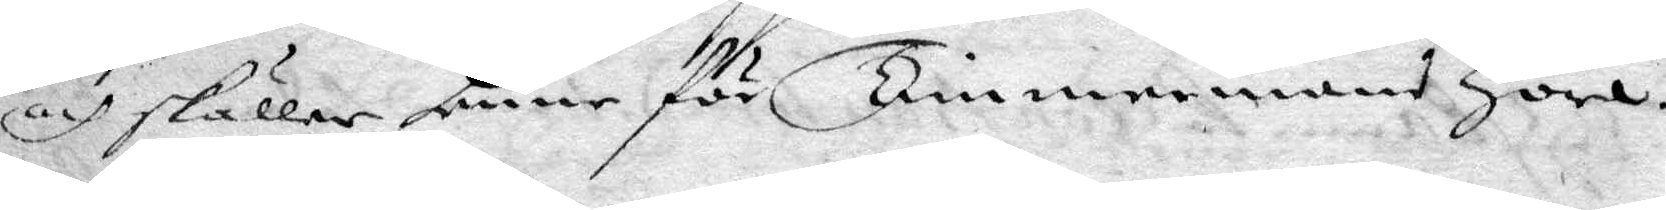och skäller henne för Timmermans Hora.
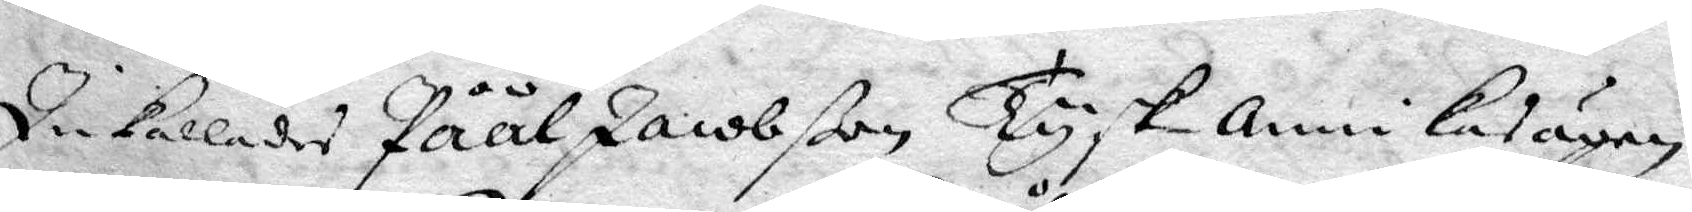Inkallades Påål Jacobßon Tysk annikas ägen
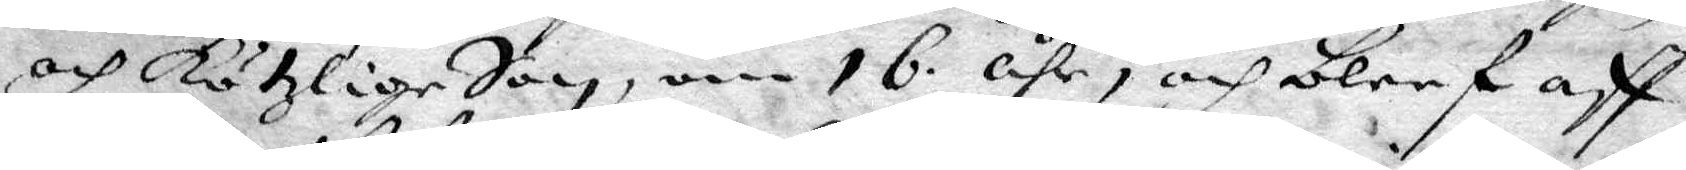och Kötzlige Son, om 16 åhr, och bleef aff
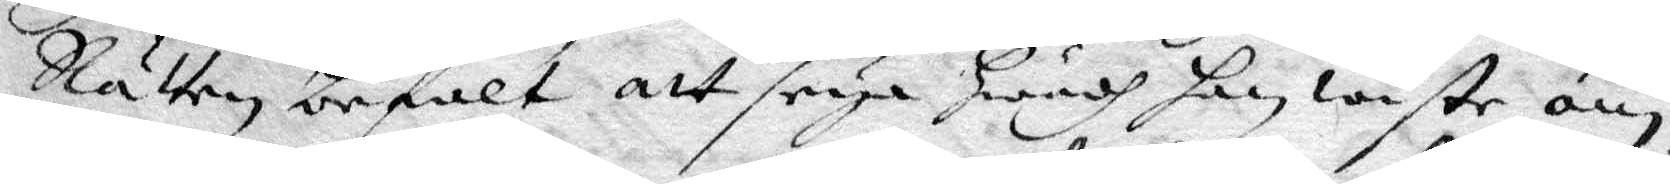Rätten befalt att seya Hwadh han wiste om
